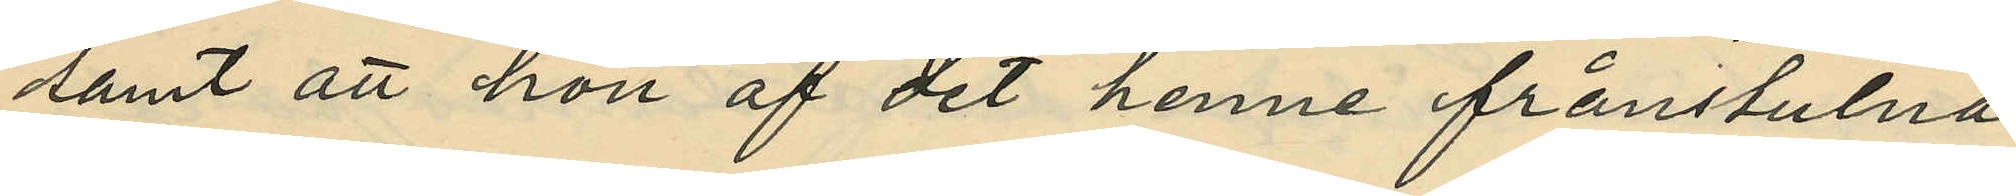samt att hon af det henne frånstulna
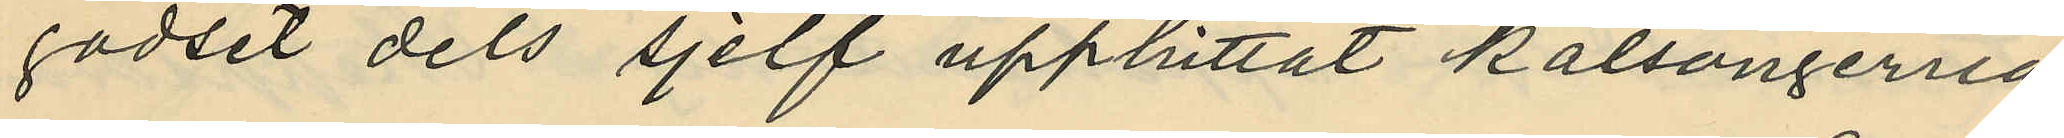godset dels sjelf upphittat kalsongerna
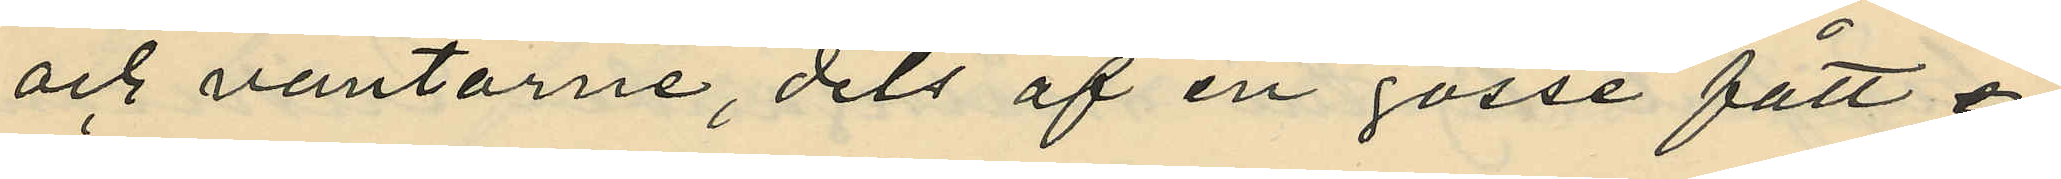och vantarne, dels af en gosse fått e¬
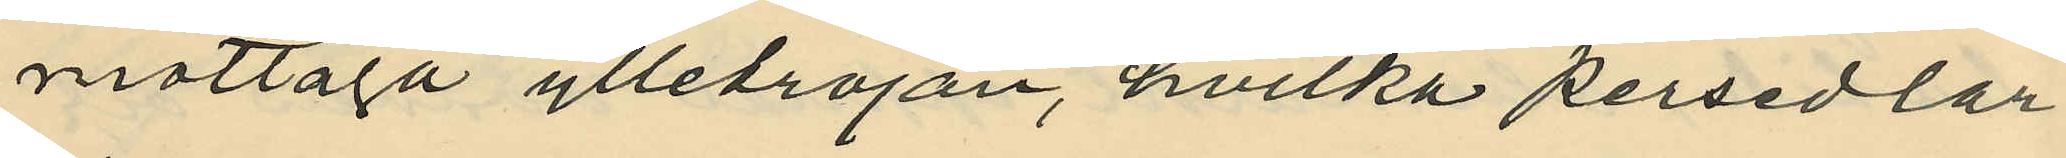mottaga ylletröjan, hvilka persedlar
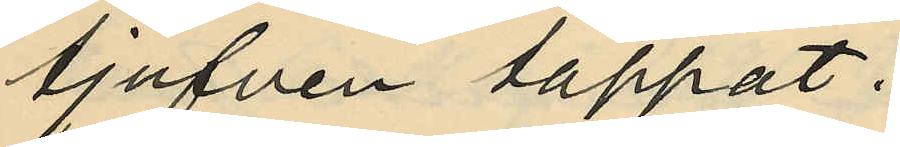tjufven tappat.
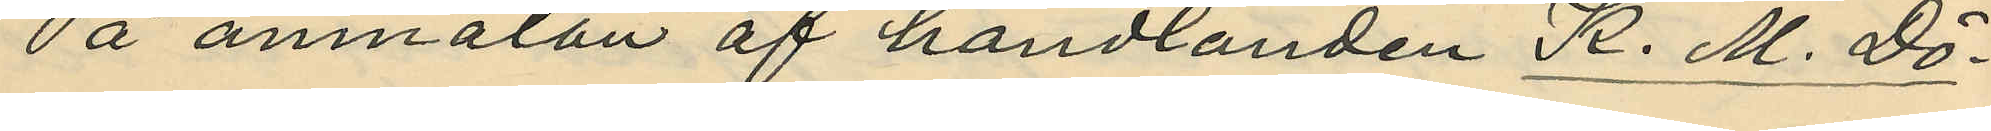På anmälan af handlanden K. M. Dö¬
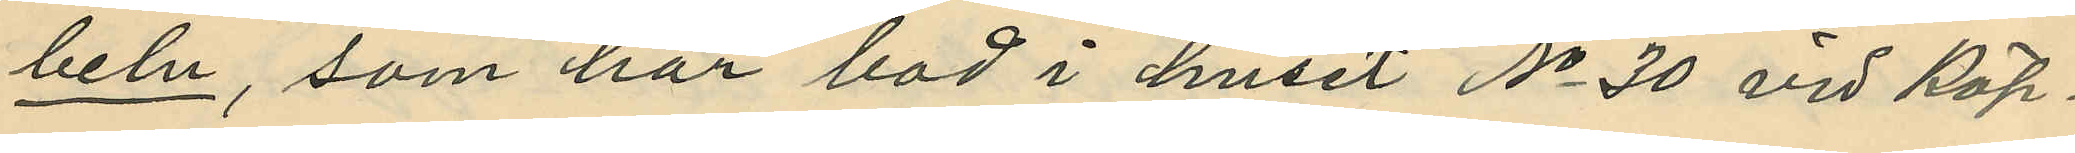beln, som har bod i huset No 30 vid Köp¬
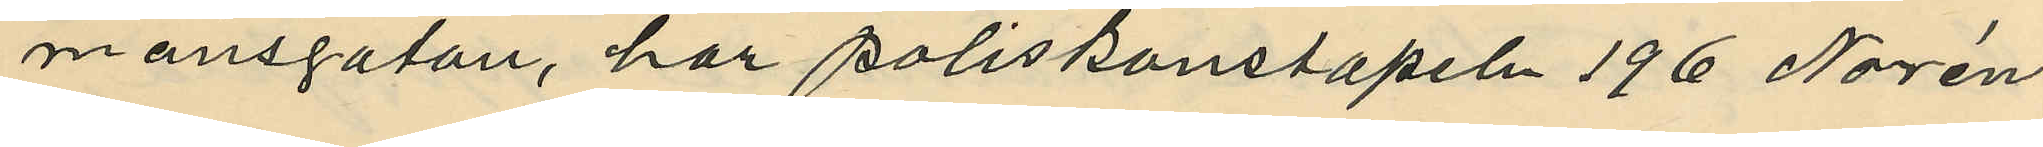mansgatan, har poliskonstapeln 196 Norén
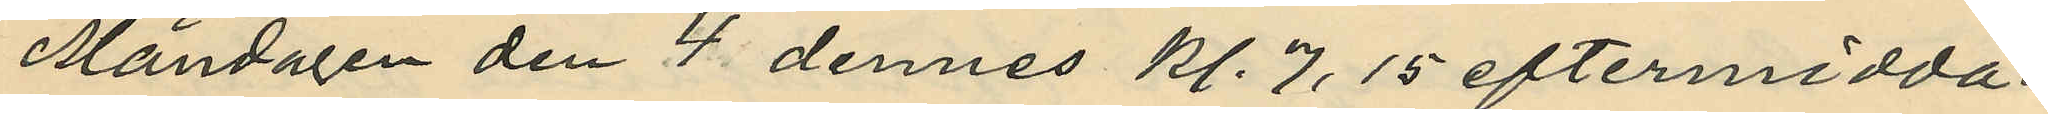Måndagen den 4 dennes kl. 7.15 eftermidda¬
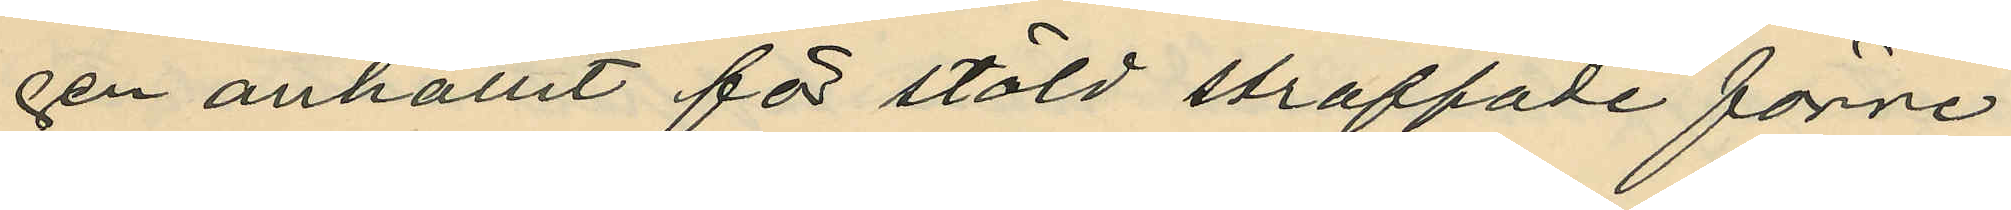gen anhållit för stöld straffade förre
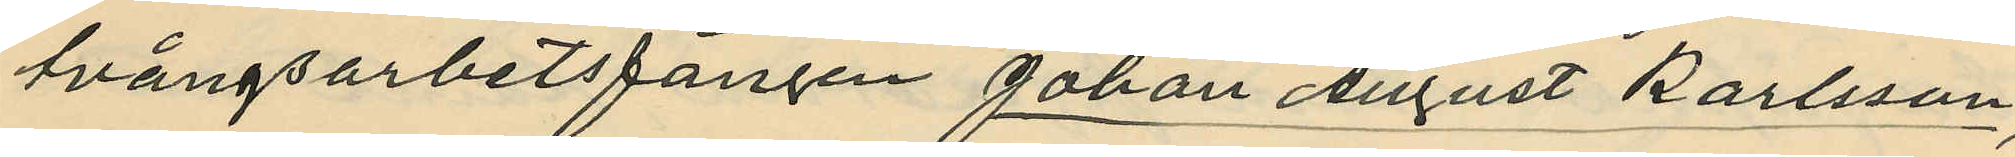tvångsarbetsfången Johan August Karlsson,
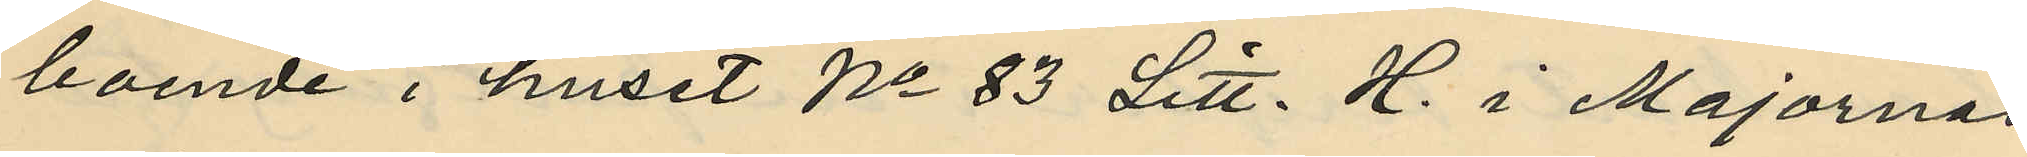boende i huset No 83 Litt. H. i Majornas
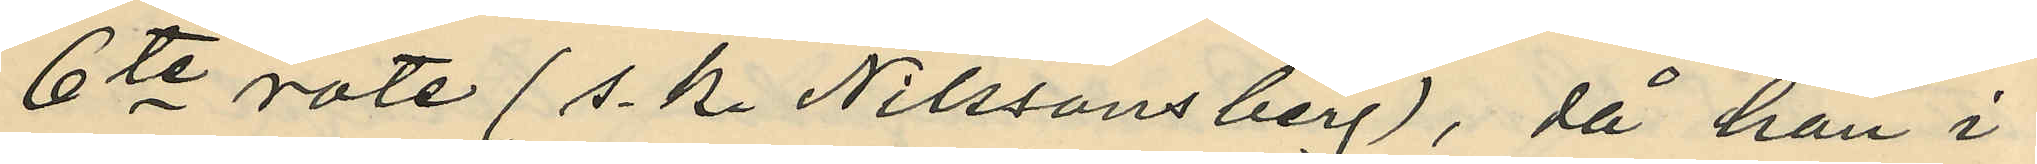6te rote (s. k. Nilssons berg), då han i
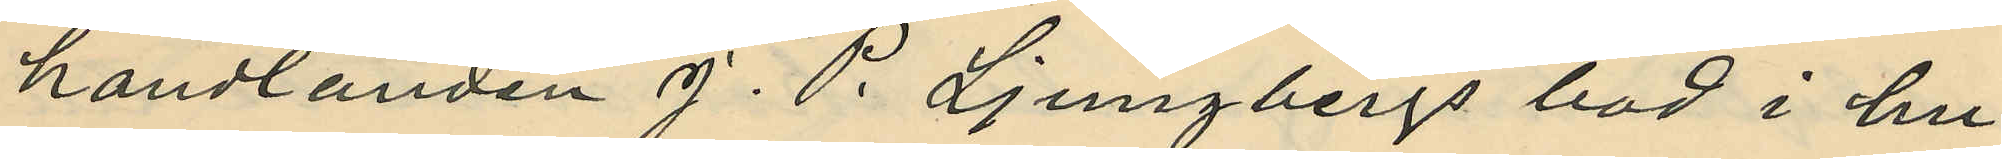handlanden J. P. Ljungbergs bod i hu¬
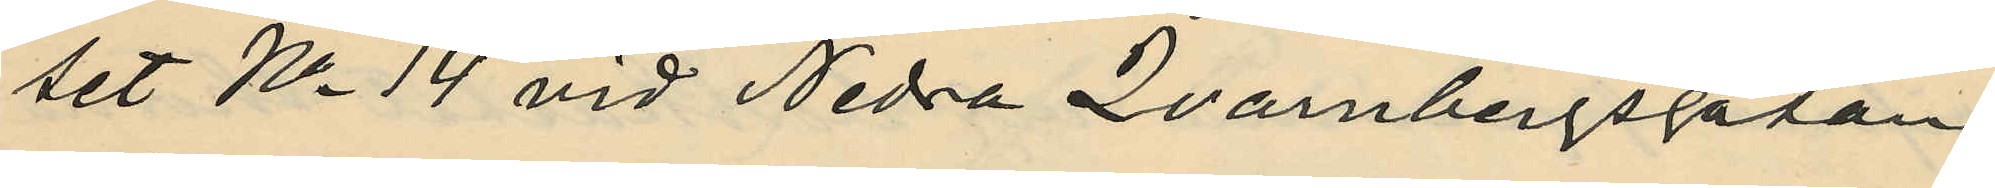set No 14 vid Nedra Qvarnbergsgatan
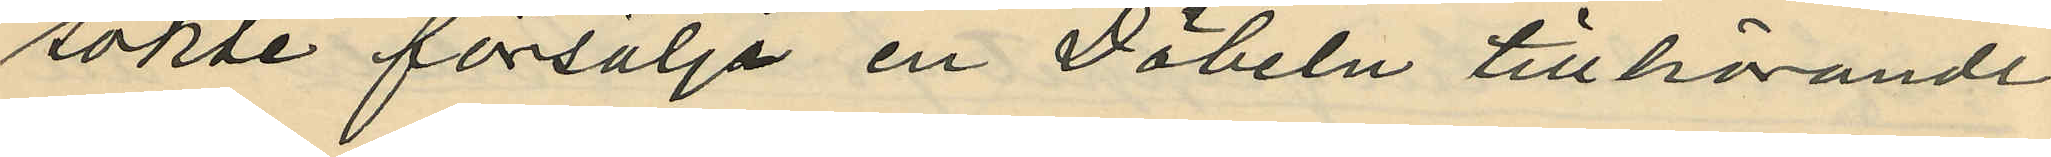sökte försälja en Döbeln tillhörande
